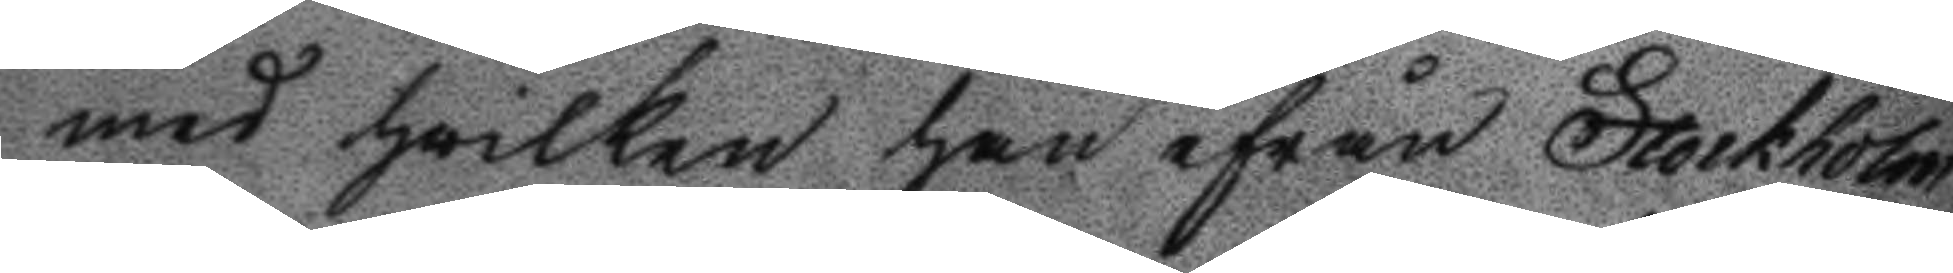med hwilken han ifrån Stockholm
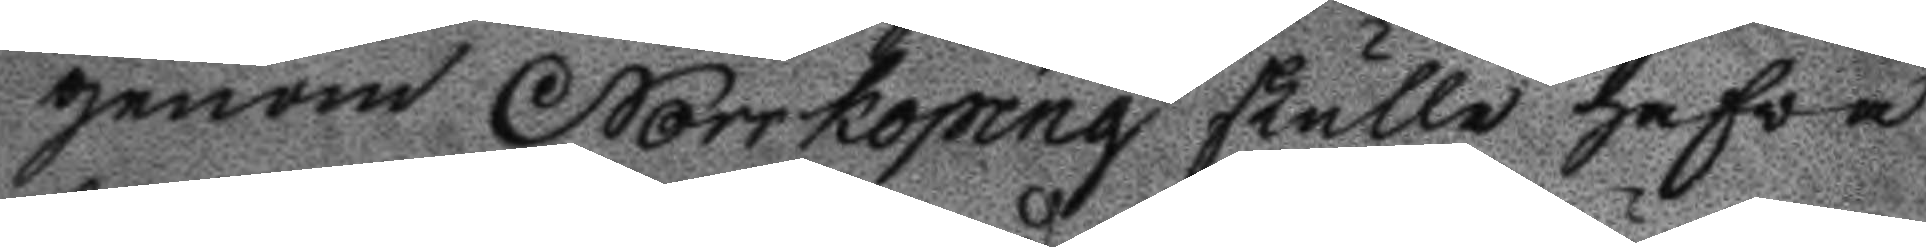genom Norrköping skulle hafva
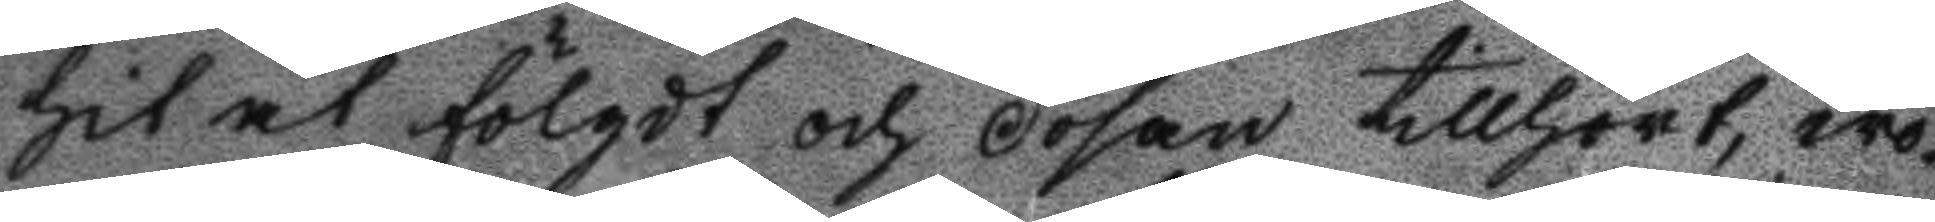hitåt fölgdt och dosan tillhört, wo¬
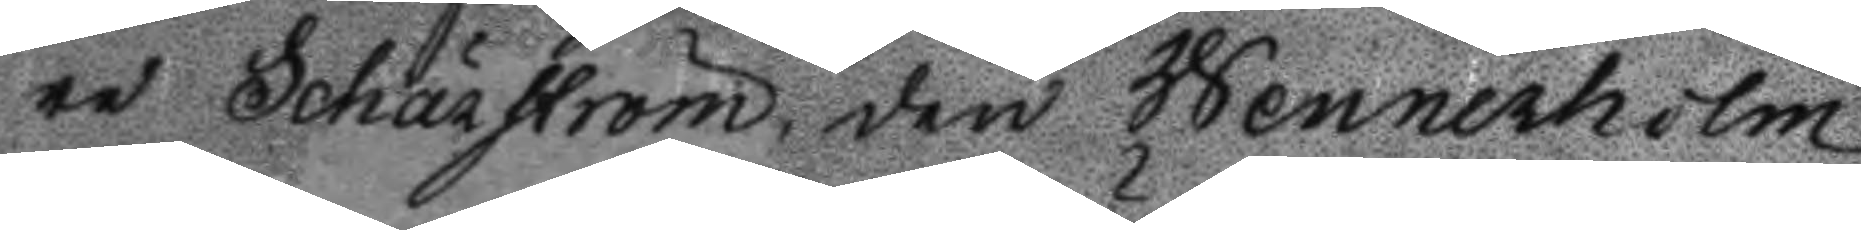re Schärström, den Wennerholm
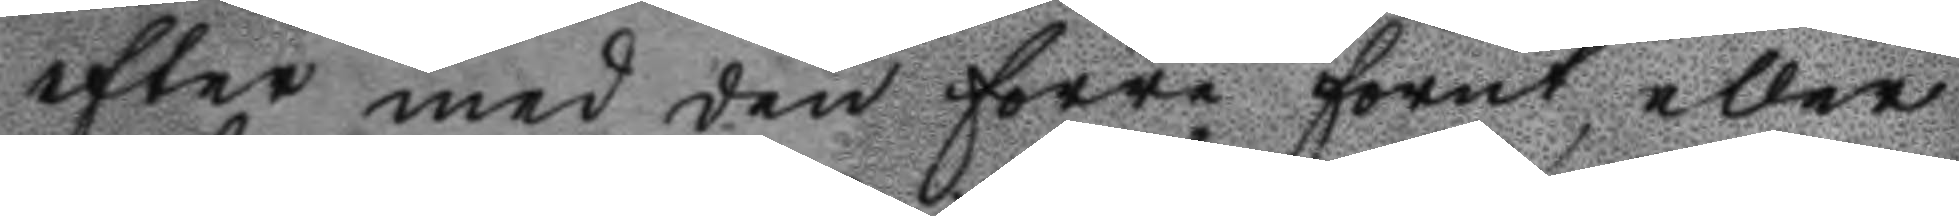efter med den förre förut eller
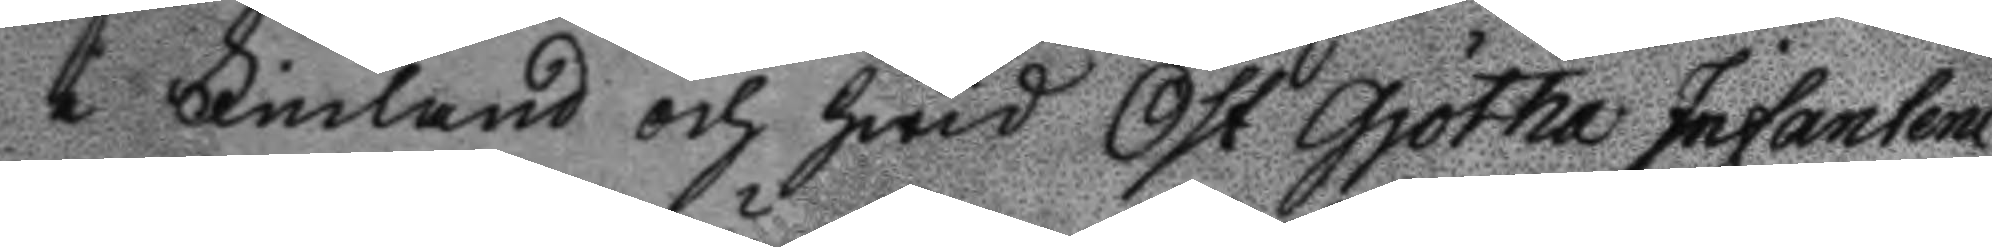i Finland och hwid Öst Gjötha Infanteri
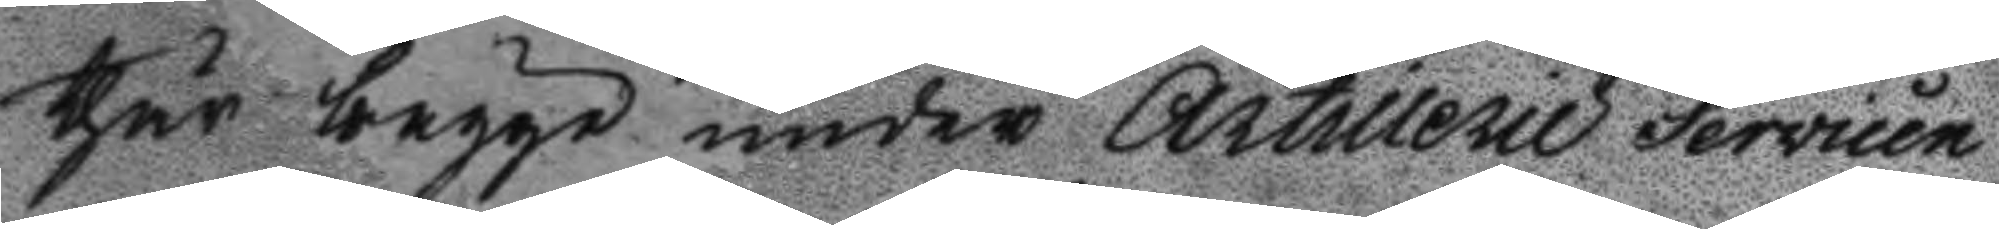thär bägge under Artillerie Servicen
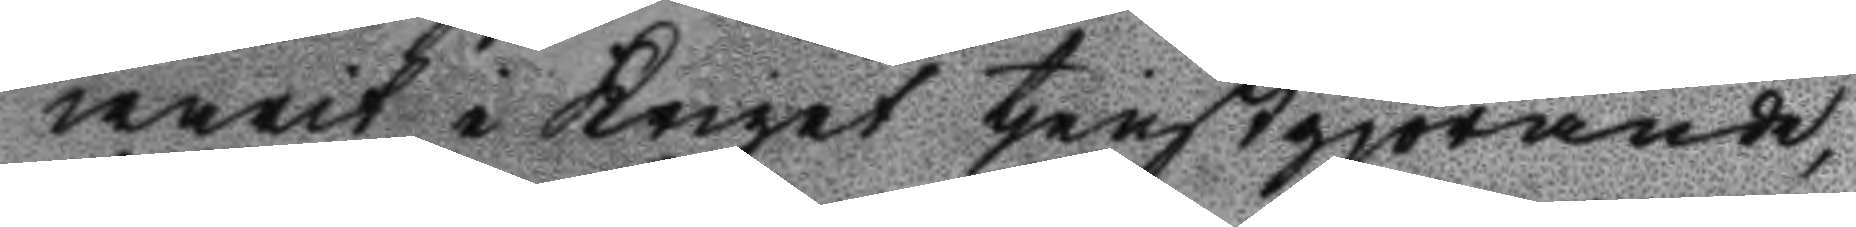warit i Kriget tjenstgjörande,
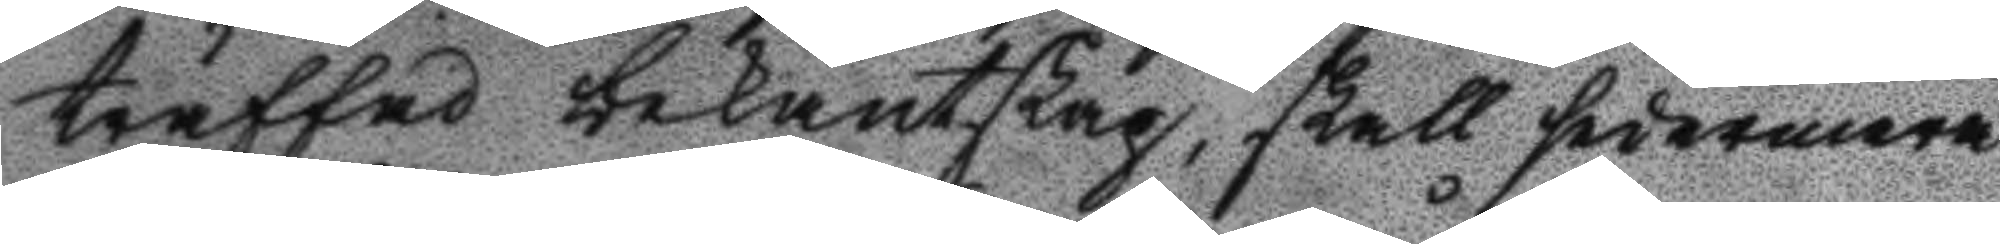träffad bekantskap, skall sedermera
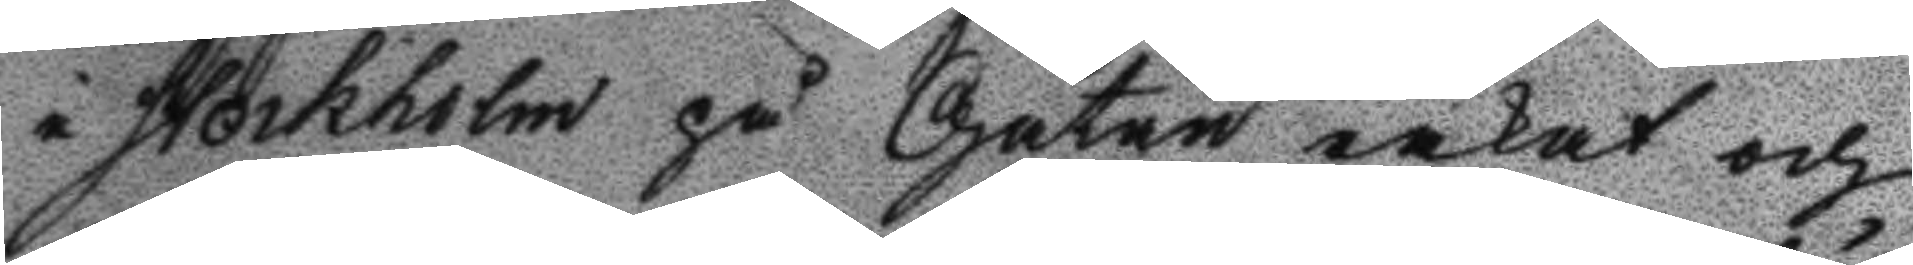i Stockholm på Gatan råkat och
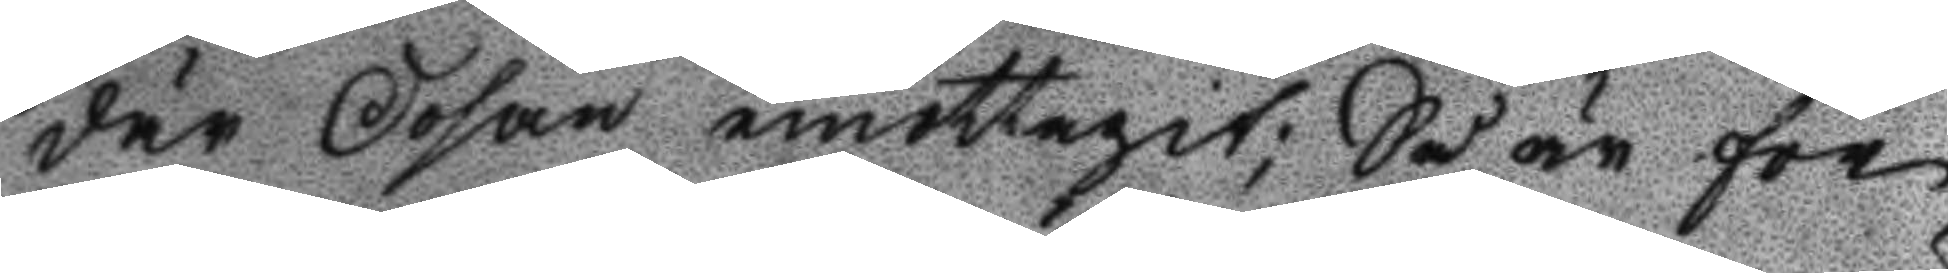där Dosan emottagit; Så är för
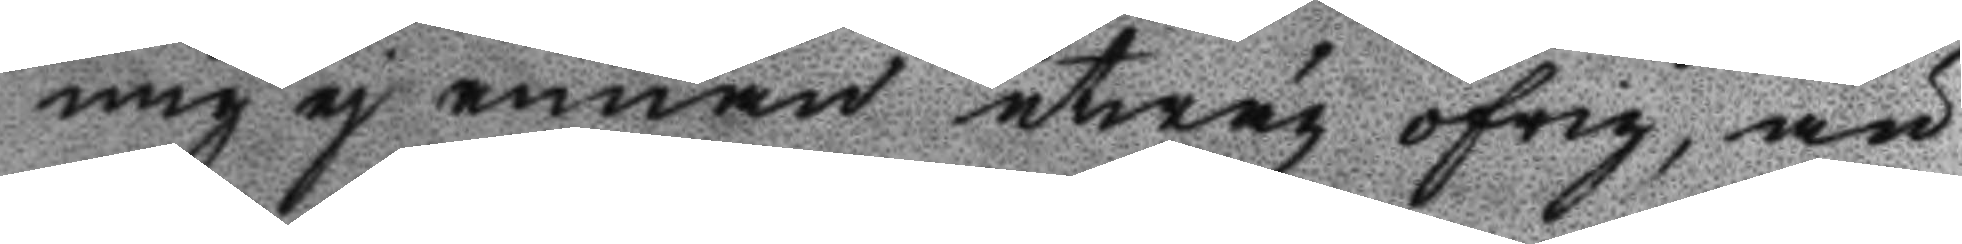mig ej annan utwäg öfrig, än
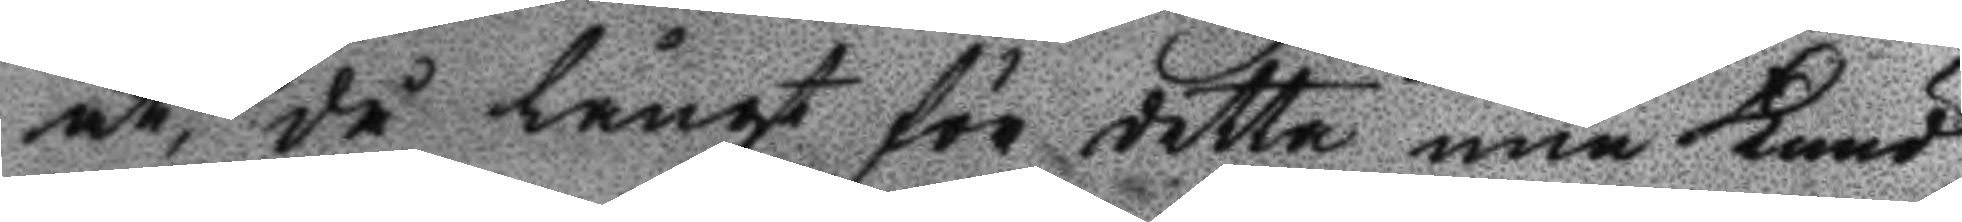at, då långt för detta min Kund¬
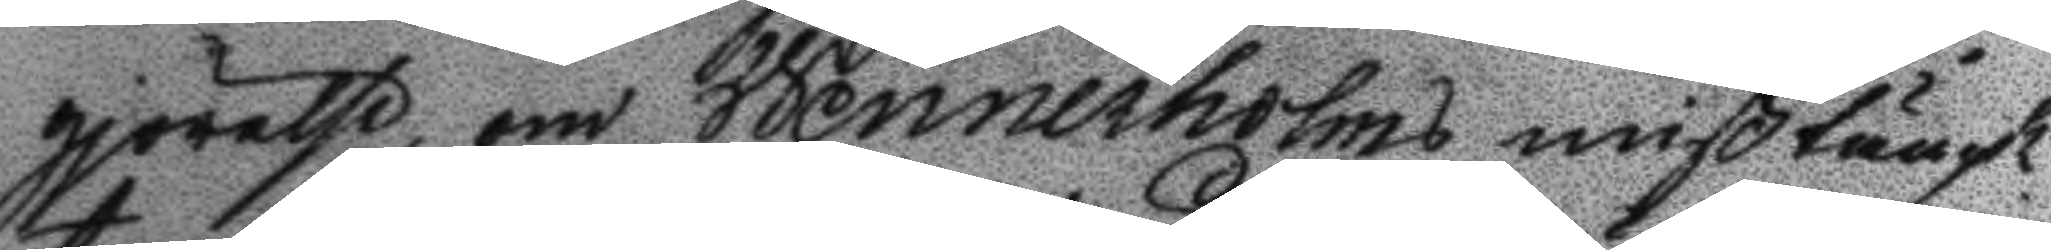gjörelse, om Wennerholms mißtängt¬
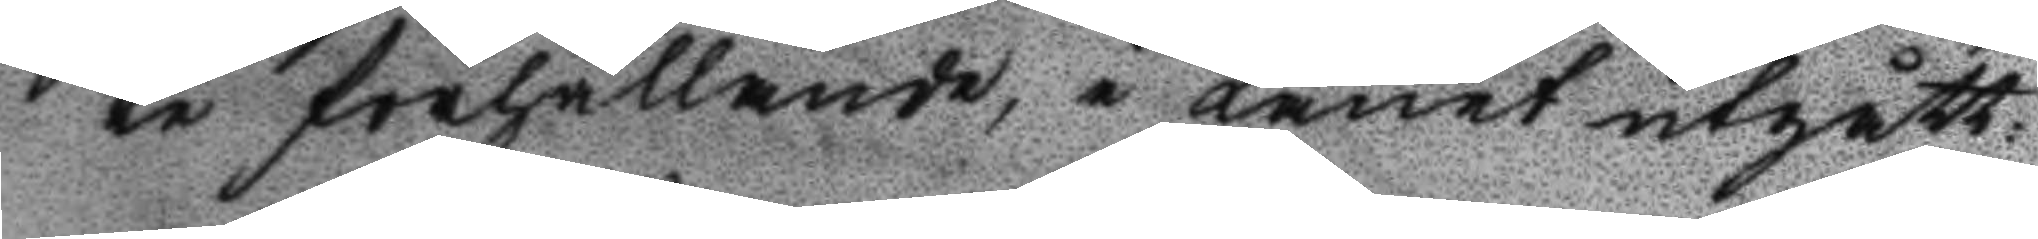te förhållande, i Länet utgått:
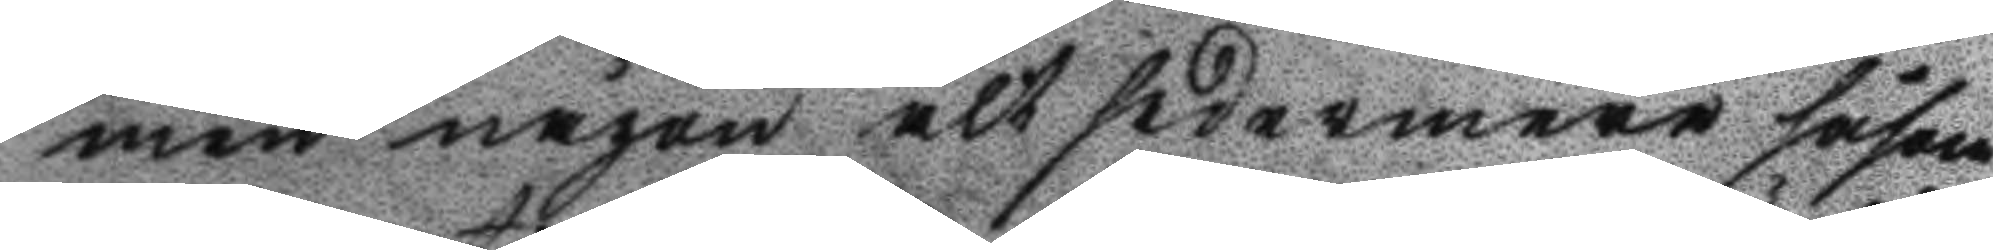men någon alt sedermera såsom
